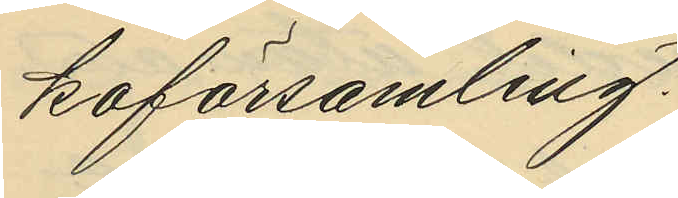koförsamling.
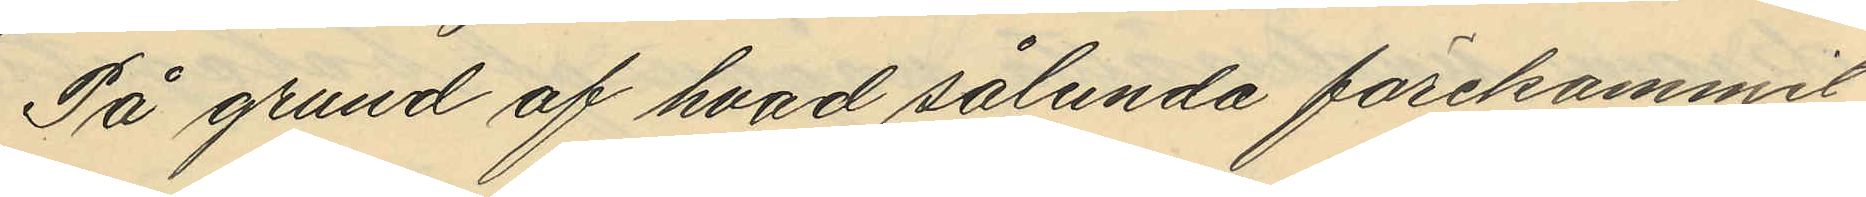På grund af hvad sålunda förekommit
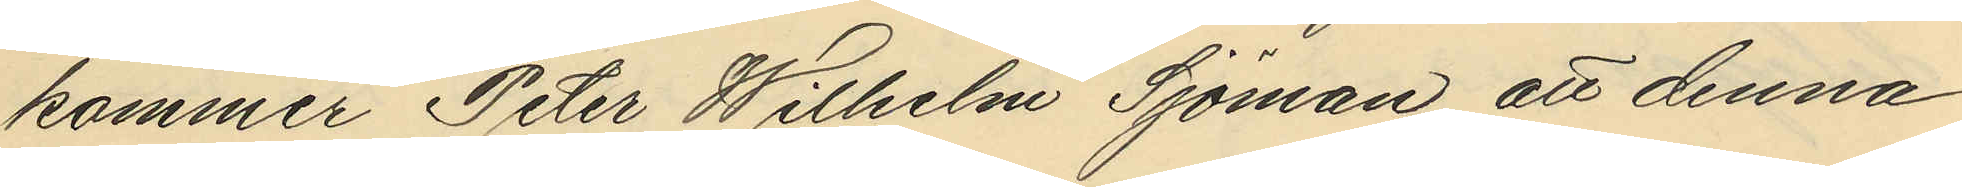kommer Peter Wilhelm Sjöman att denna
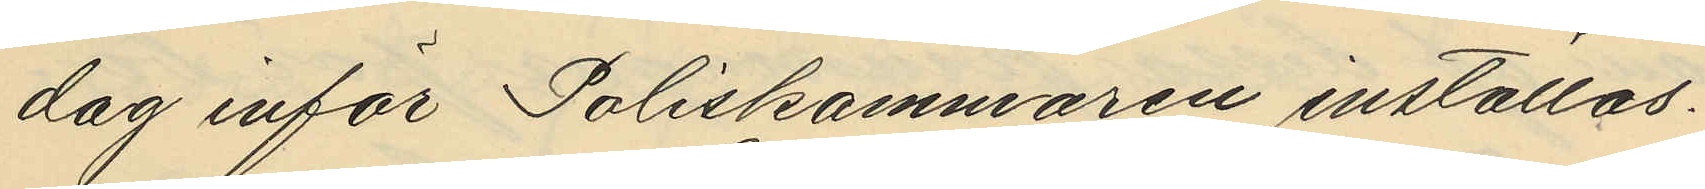dag inför Poliskammaren inställas.
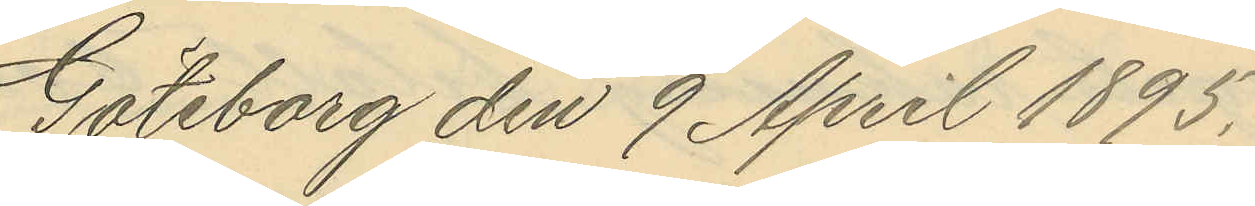Göteborg den 9 April 1895.
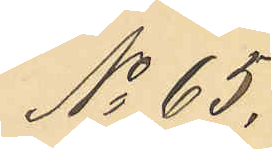No 65.
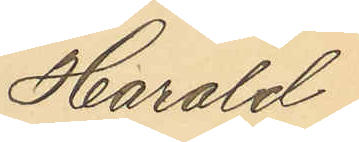Harald
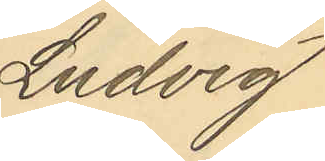Ludvig
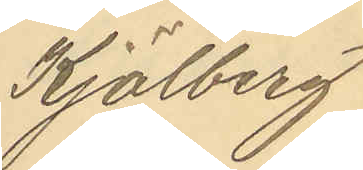Kjölberg
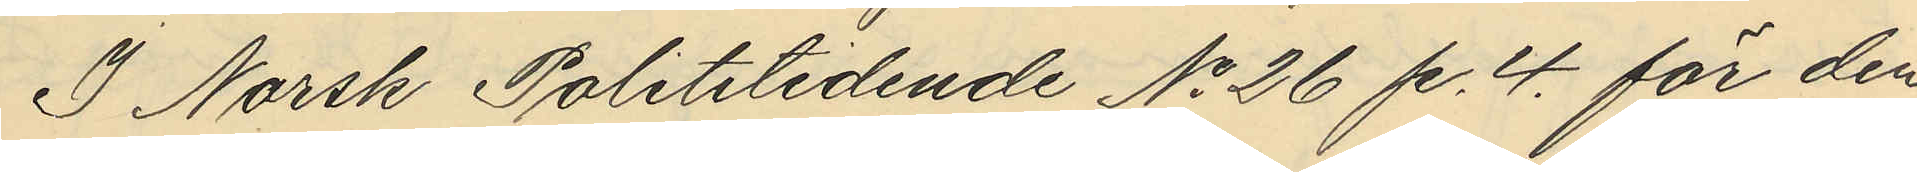I Norsk Politeledende No 26 p. 4. för den
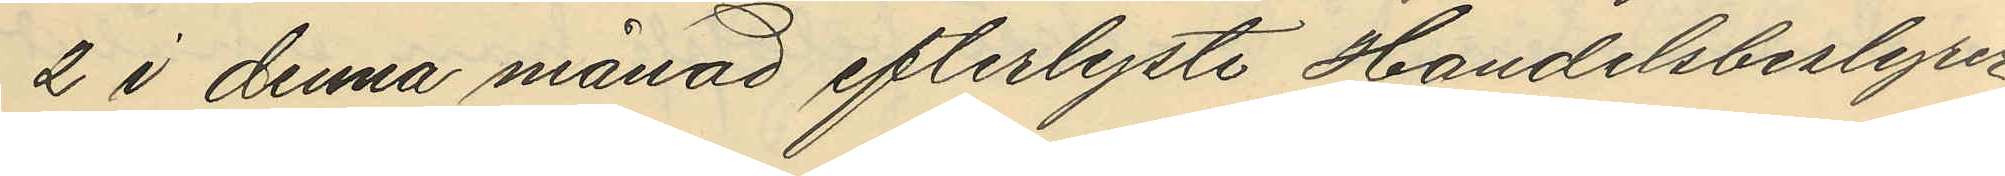2 i denna månad efterlyste Handelsbestyrer
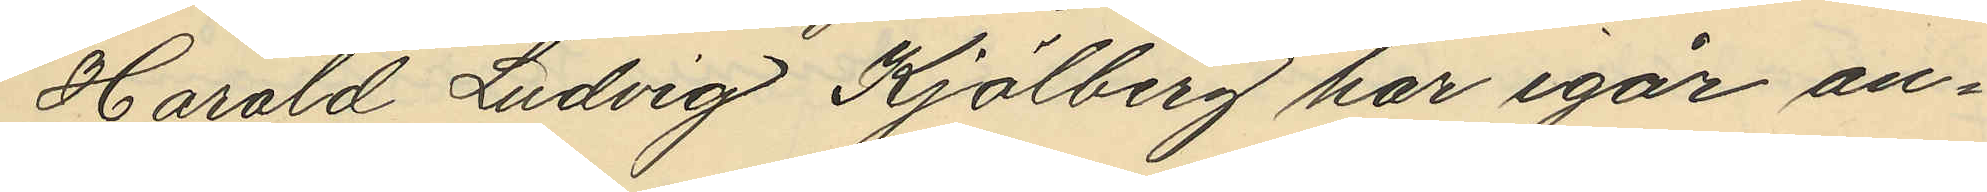Harald Ludvig Kjölberg har igår an¬
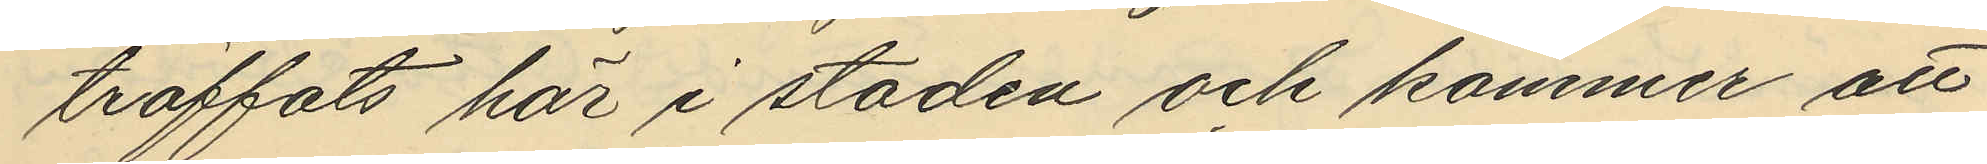träffats här i staden och kommer att
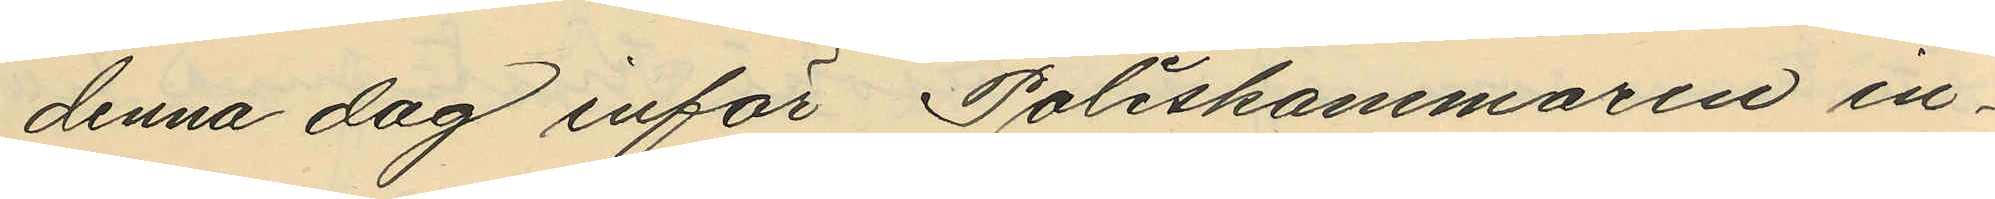denna dag inför Poliskammaren in¬
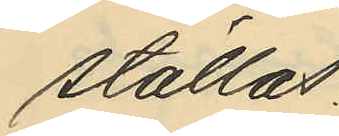ställas.
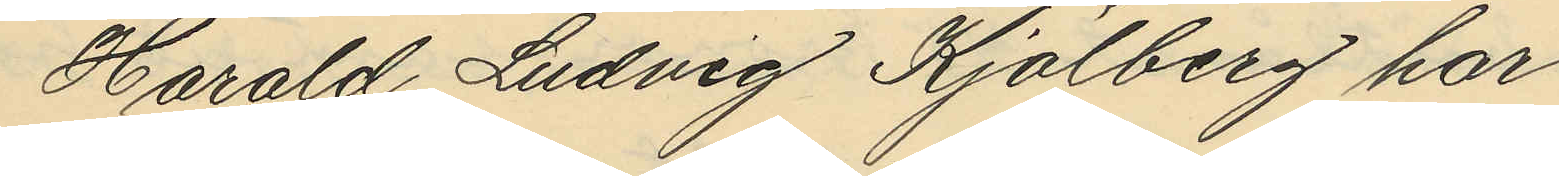Harald Ludvig Kjölberg har
